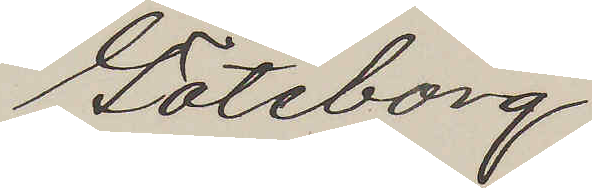Göteborg
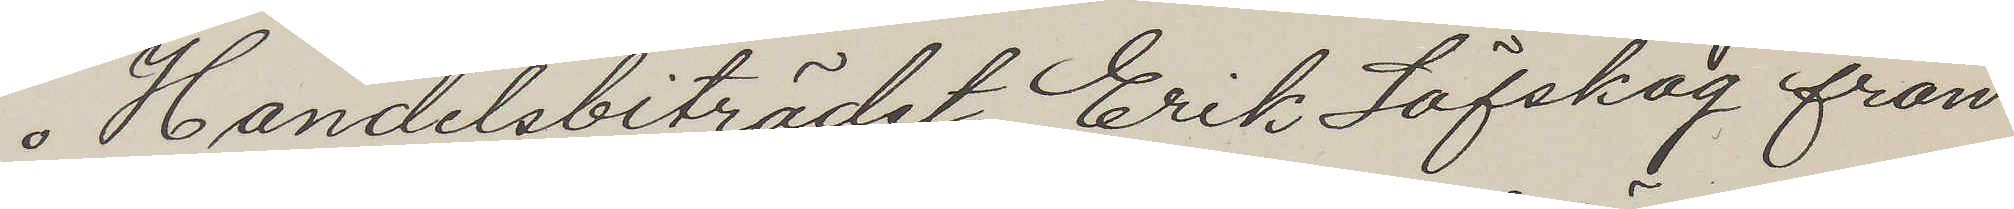Handelsbiträdet Erik Löfskog från
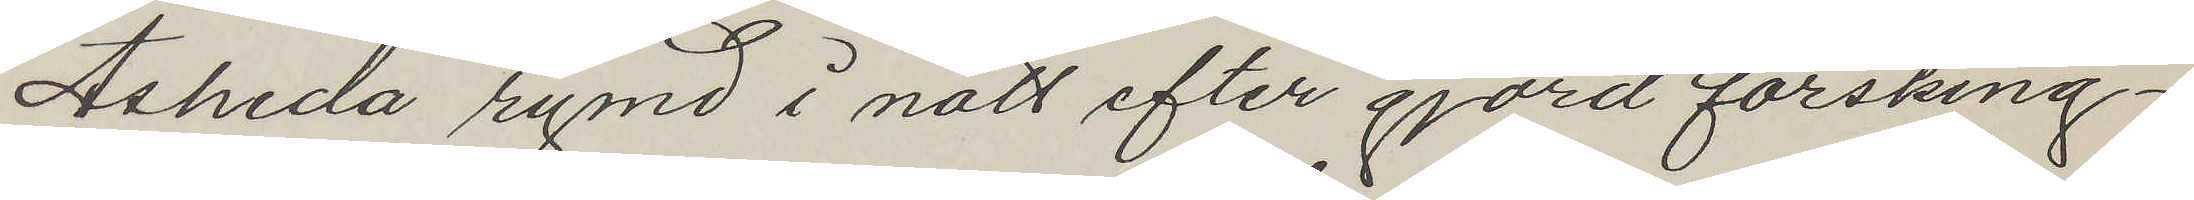Åsheda rymd i natt efter gjord försking¬
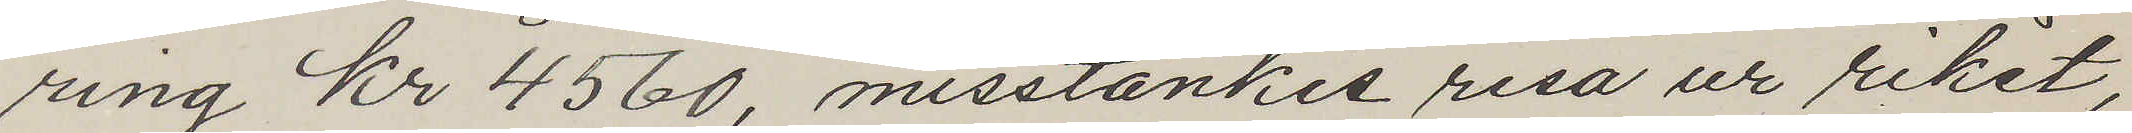ring Kr 4560, misstänkes resa ur riket,
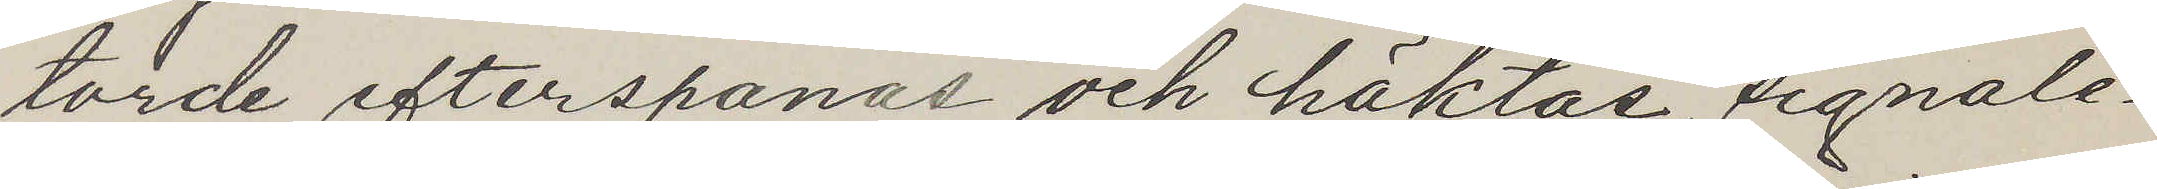torde efterspanas och häktas, signale¬
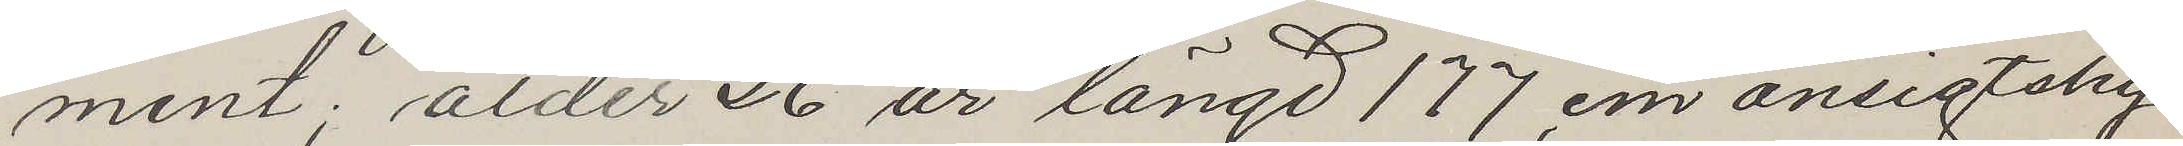ment; ålder 26 år längd 177 cm ansigtshy
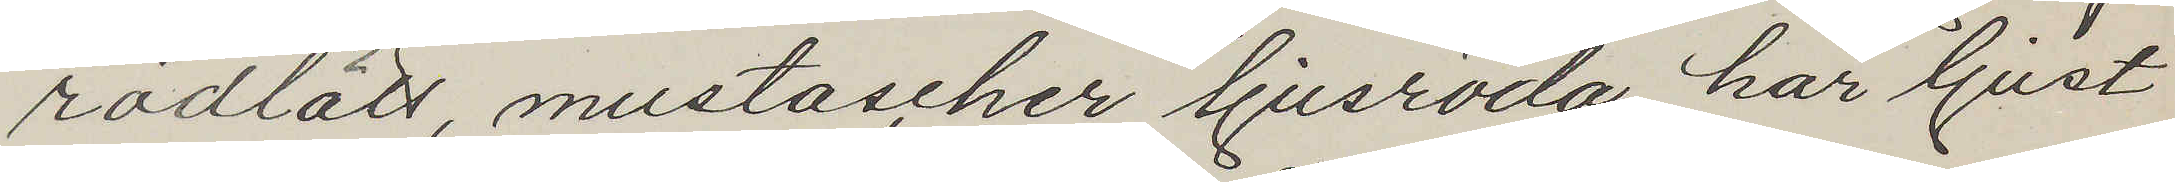rödlätt, mustascher ljusröda, hår ljust
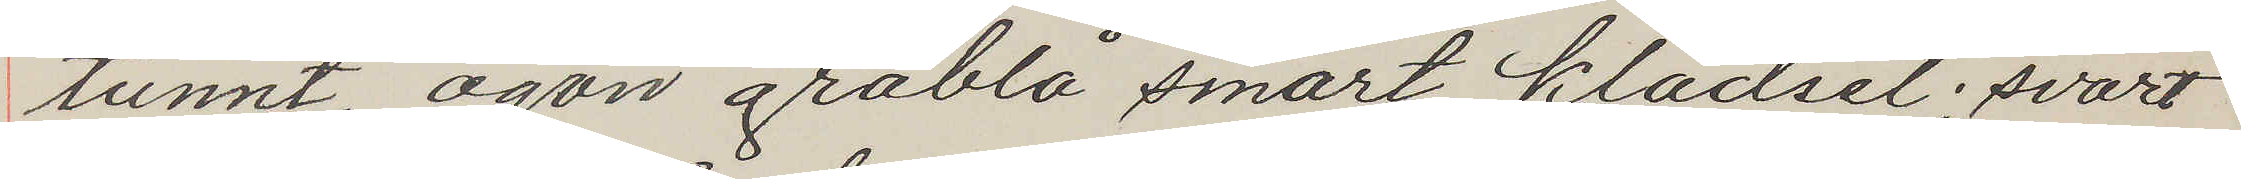tunnt, ögon gråbla smärt, klädsel; svart
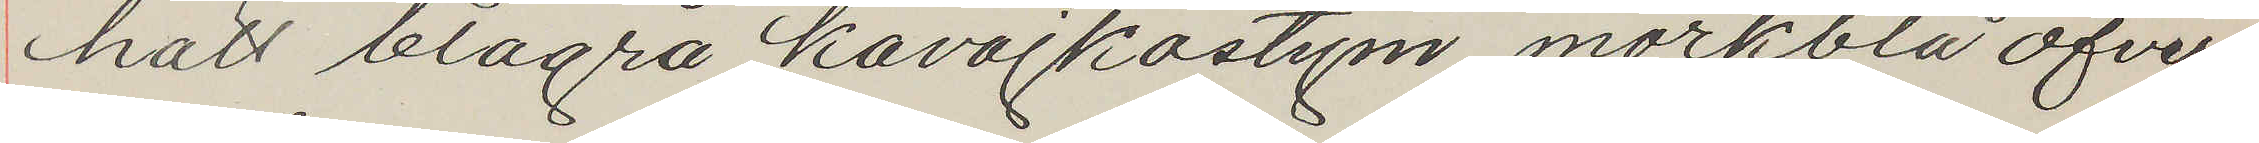hatt blågrå kavajkostym, mörkblå öfver¬
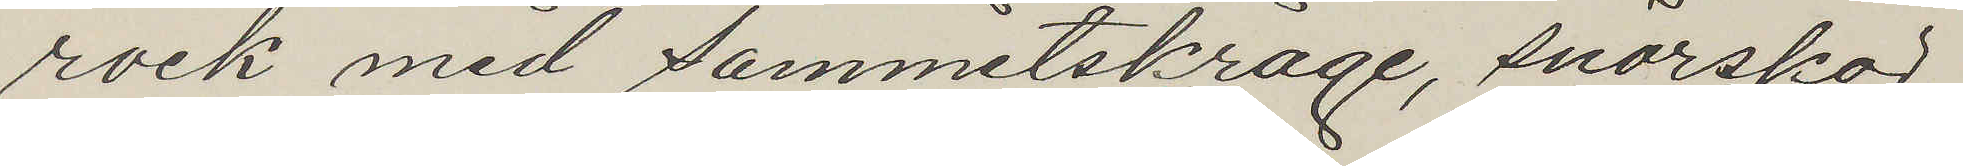rock med sammetskrage, snörskor.
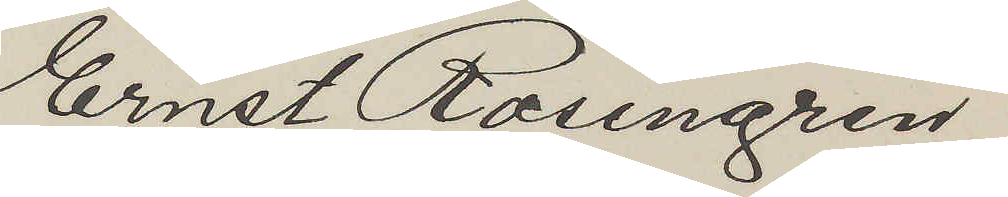Ernst Rosengren
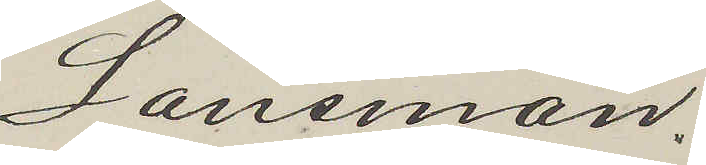Länsman.
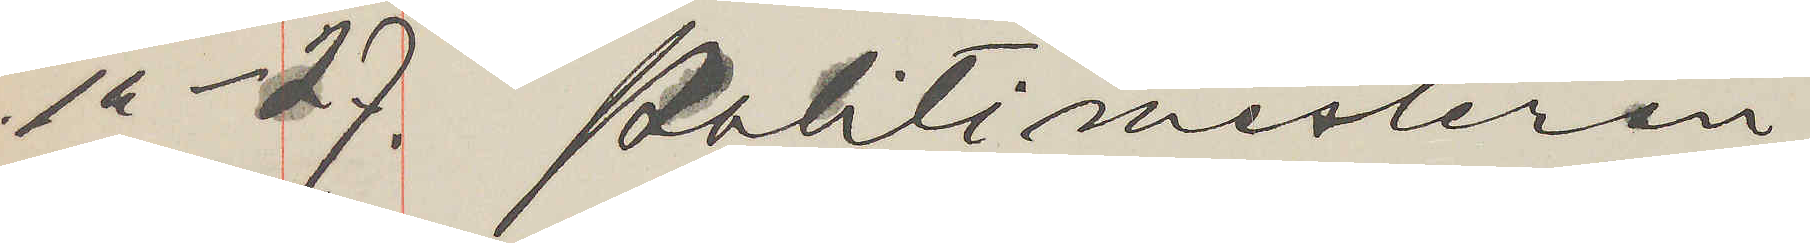" - 27. Politimesteren
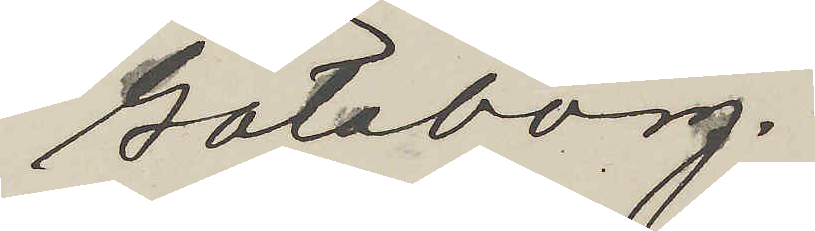Göteborg.
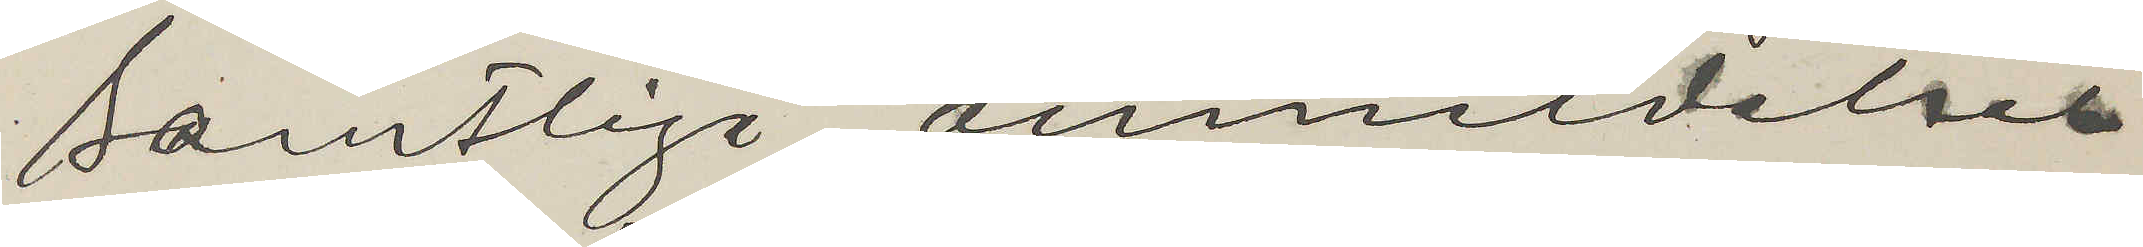Samtlige anmeldelser
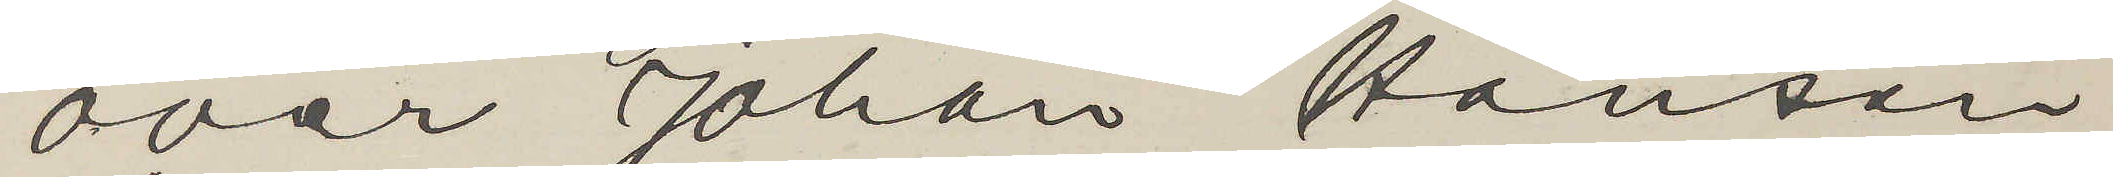over Johan Hanson
